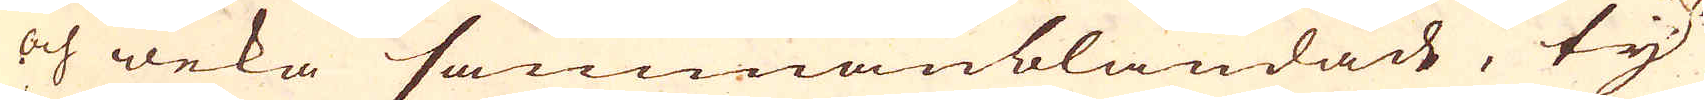och weka sammanblandad, ty
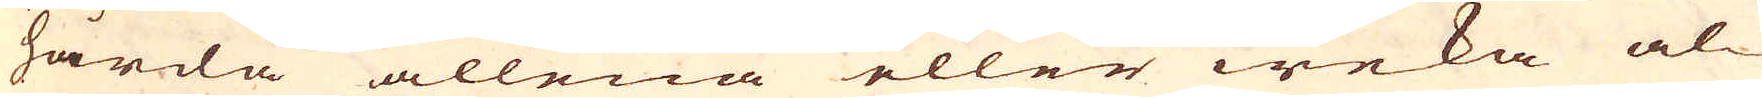hårda allena eller weka al-
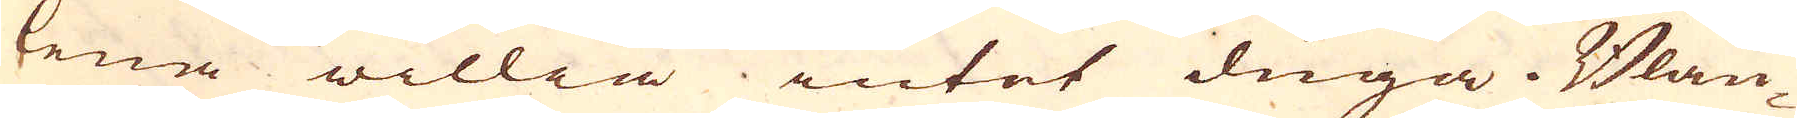lena willia intet duga. Blan-
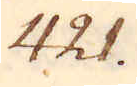421.
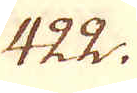422.
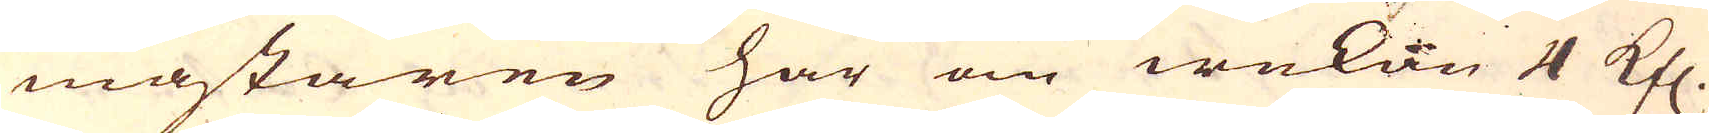mästaren har om wekan 4 Kfl.
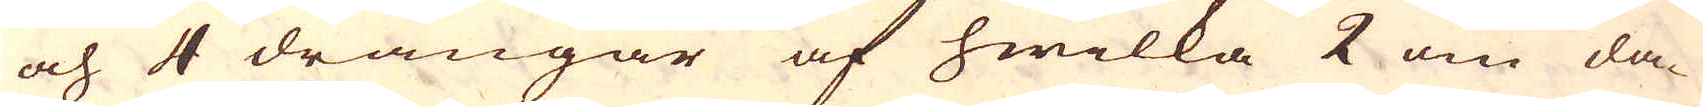och 4 drängar af hwilka 2 om da-
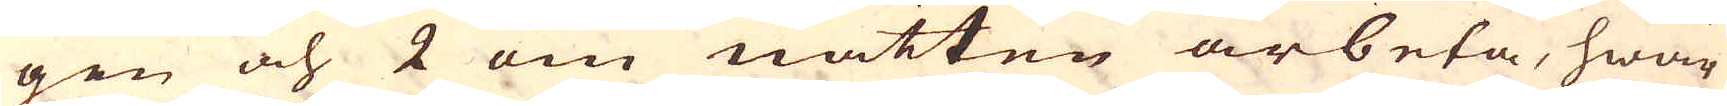gen och 2 om natten arbeta, hwar
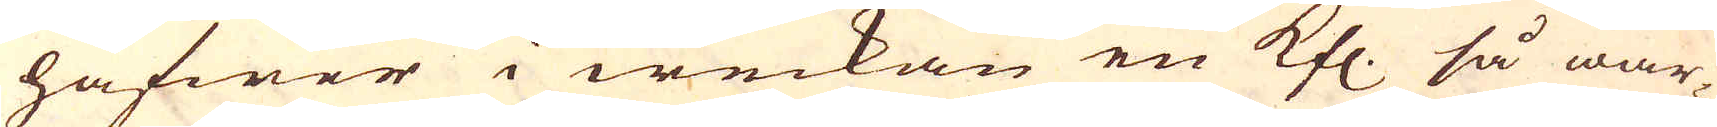hafwer i weckan en Kfl. så war-
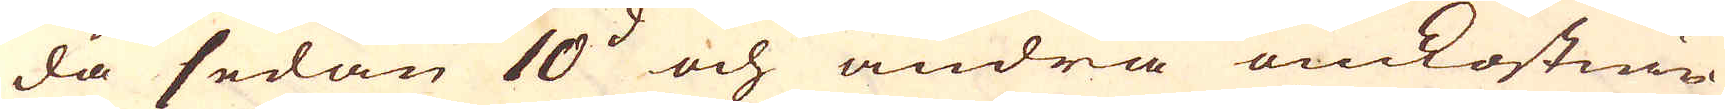da sedan 10:d och andra omkostnin-
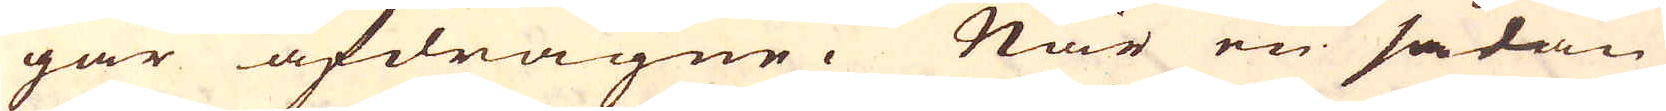gar afdragne. När en sådan
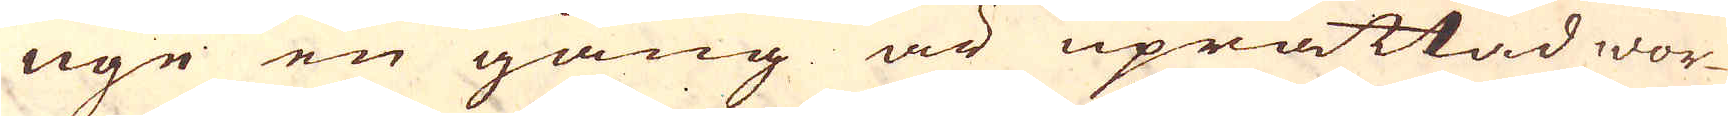ugn en gång är uprättad wor-
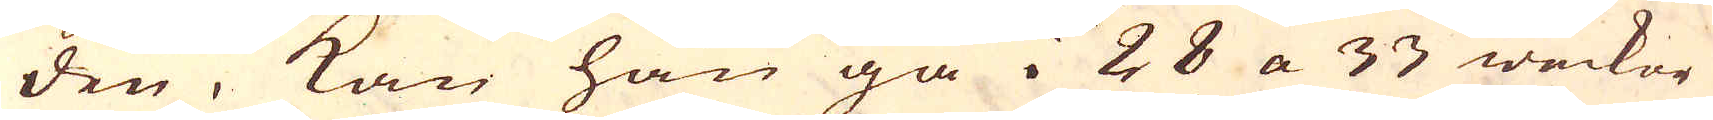den, kan han gå i 28 a 33 weckor
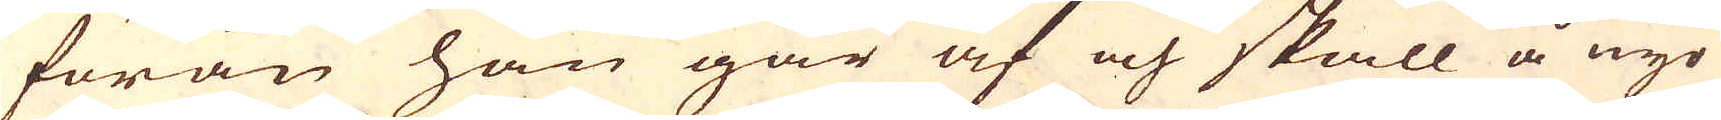förän han går af och skall å nyo
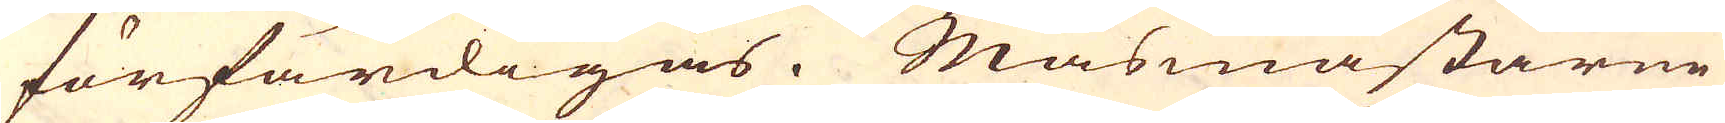förfärdigas. Masmästarne
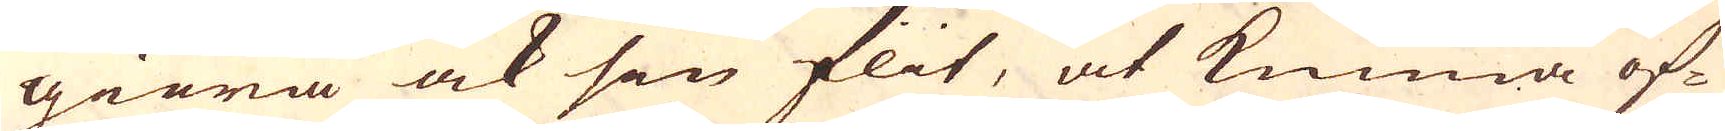giöra ock sin flit, at kunna öf-
